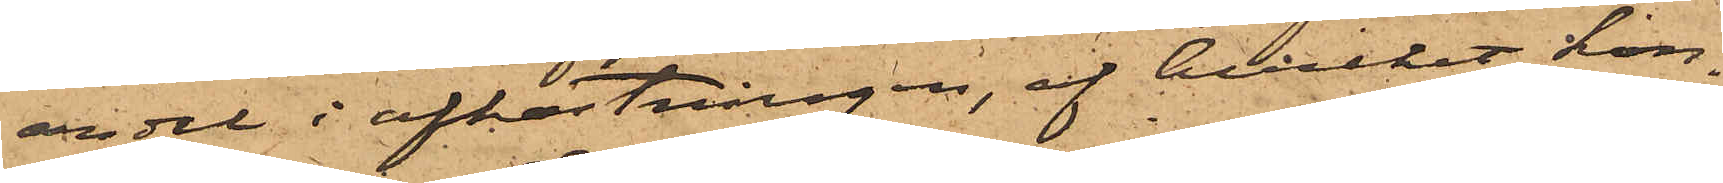andel i afkastningen, af hvilket kon¬
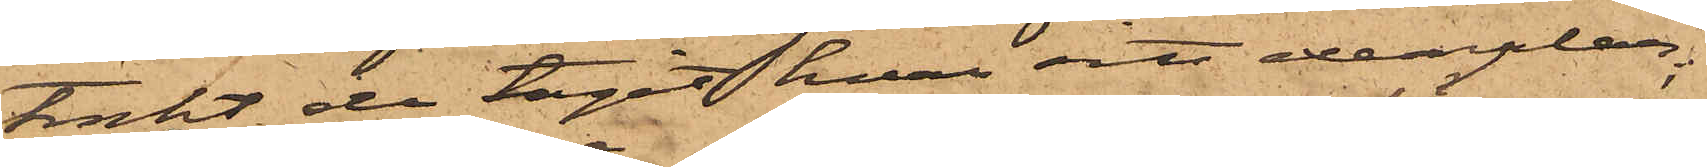trakt de tagit hvar sitt exemplar;
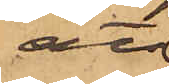att
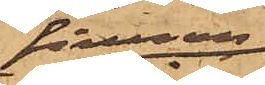firman
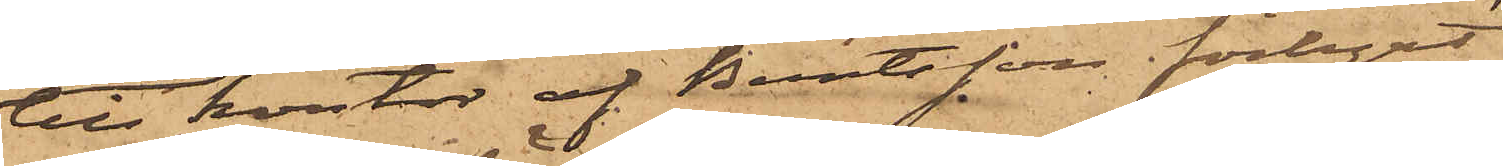till kontor af Berntsson förhyrt
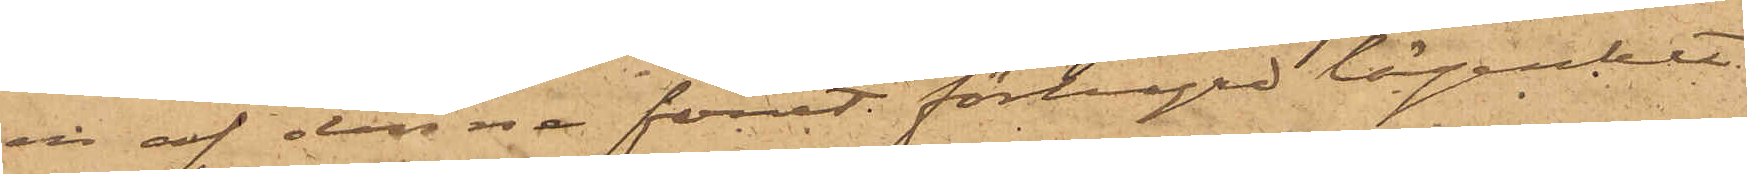en af denne förut förhyrd lägenhet
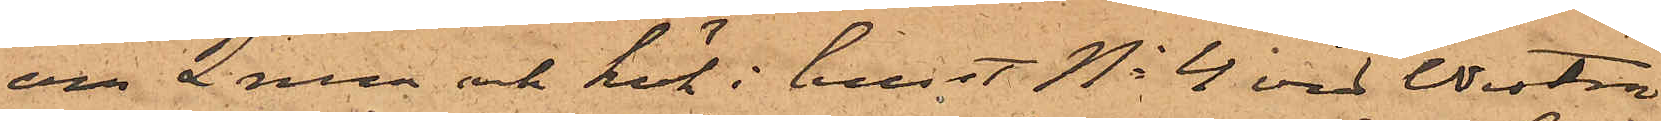om 2 rum och kök i huset No 4 vid Westra
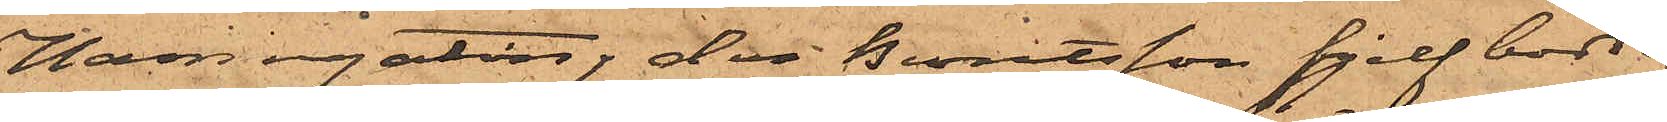Hamngatan, der Berntsson sjelf bodde,
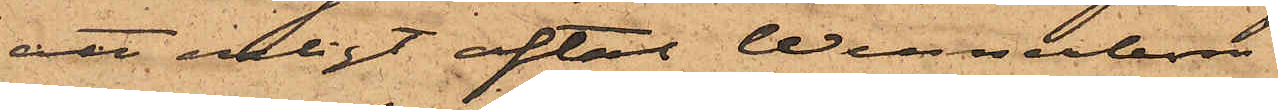att enligt aftal Wennerbom
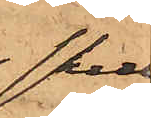skul¬
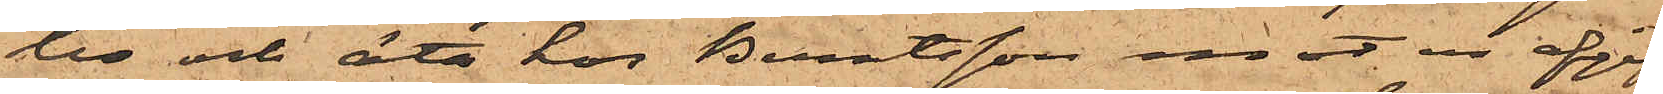le ock äta hos Berntsson emot en afgift
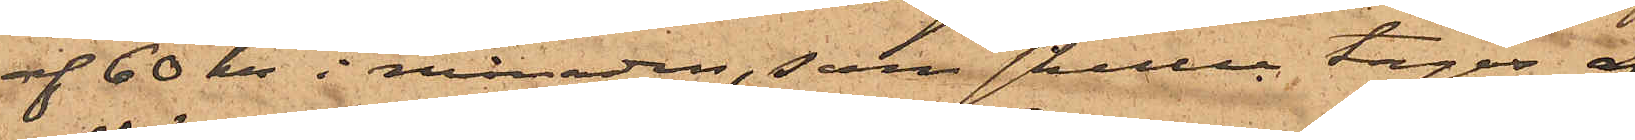af 60 kr i månaden, som skulle tagas af
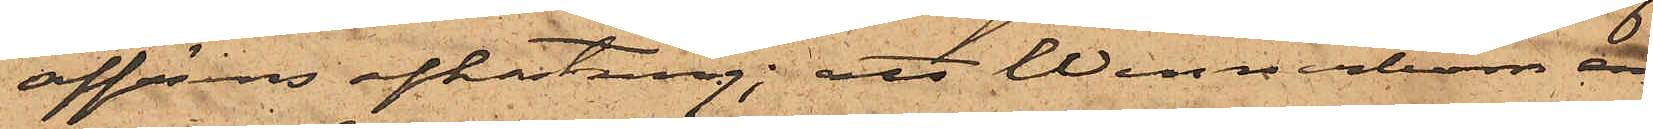affärens afkastning; att Wennerbom en¬
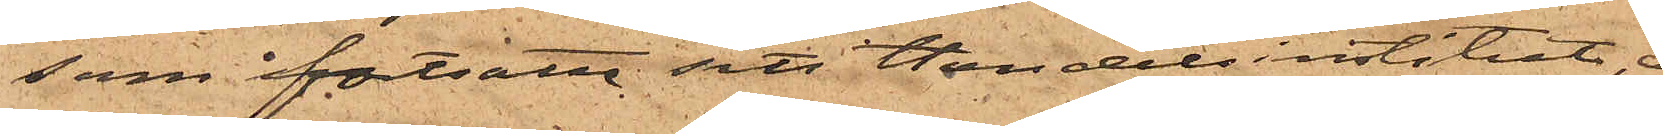som fortsatte sitt Handelsinstitut, ej
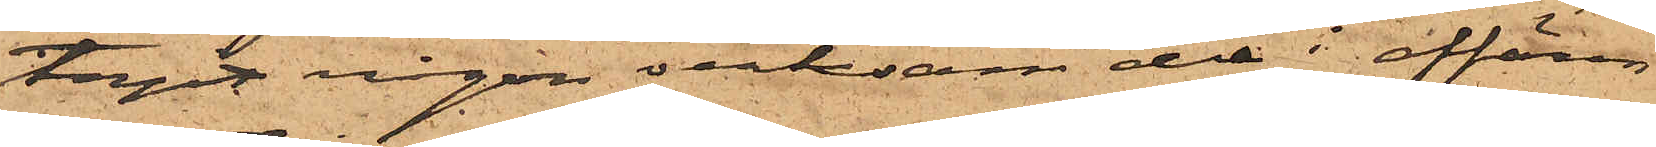tagit någon verksam del i affären
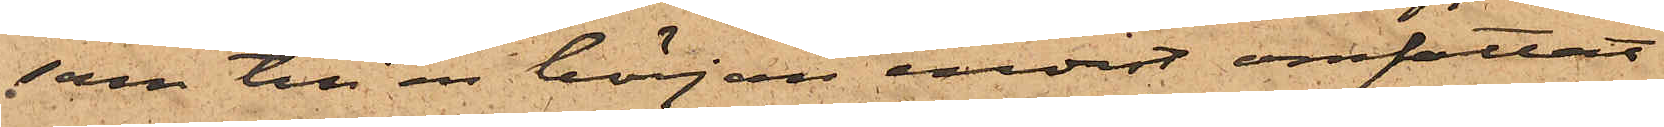som till en början endast omfattat
